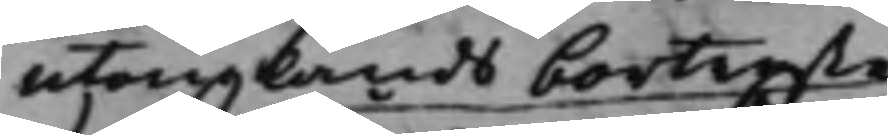utomlands bortreste
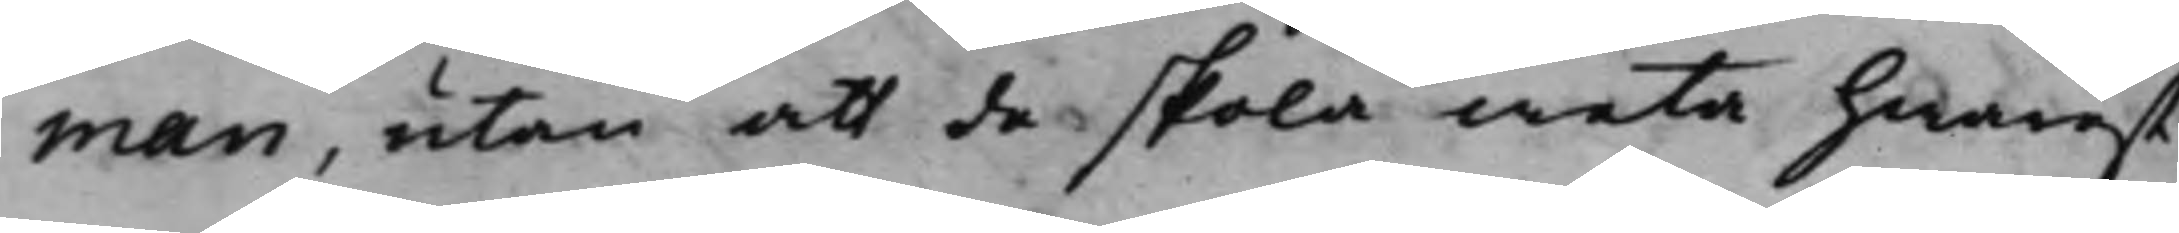man, utan att de skola weta hwarest
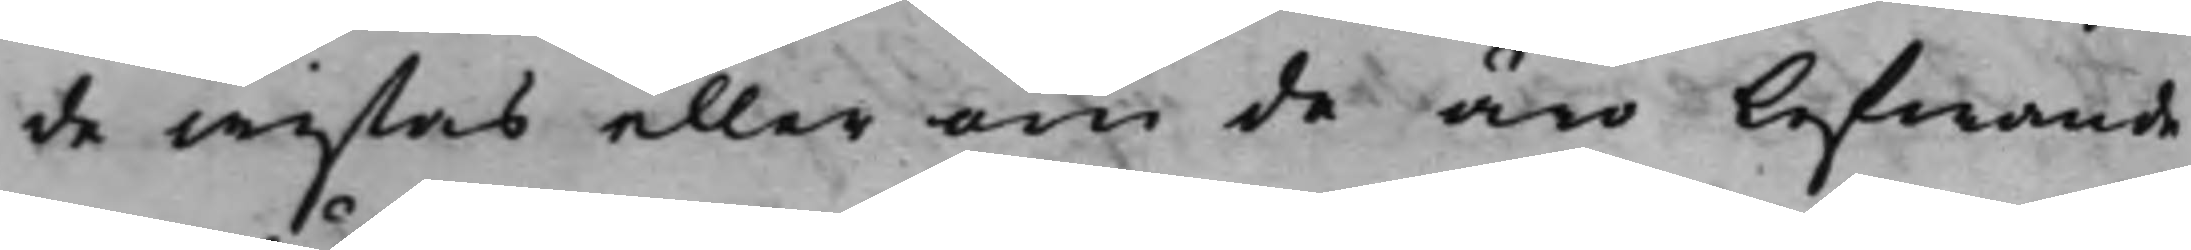de wistas eller om de äro lefwande
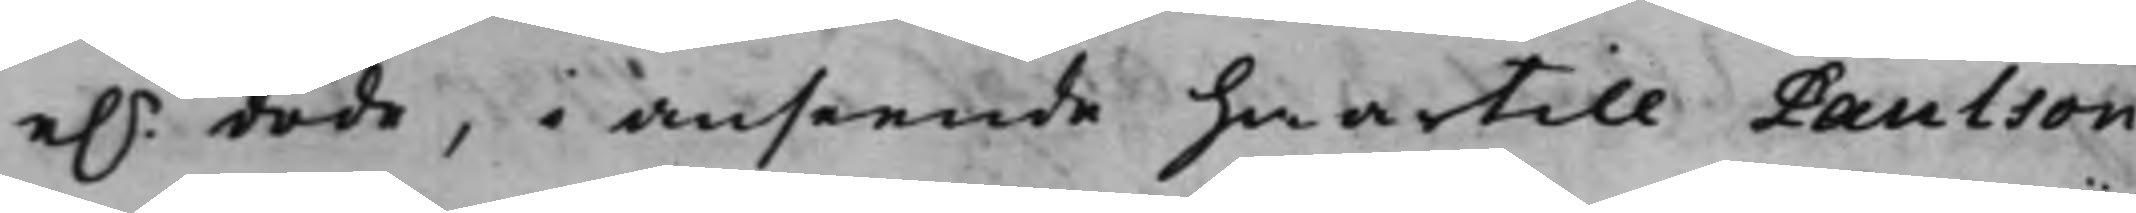e.r döde, i anseende hwartill Paulson
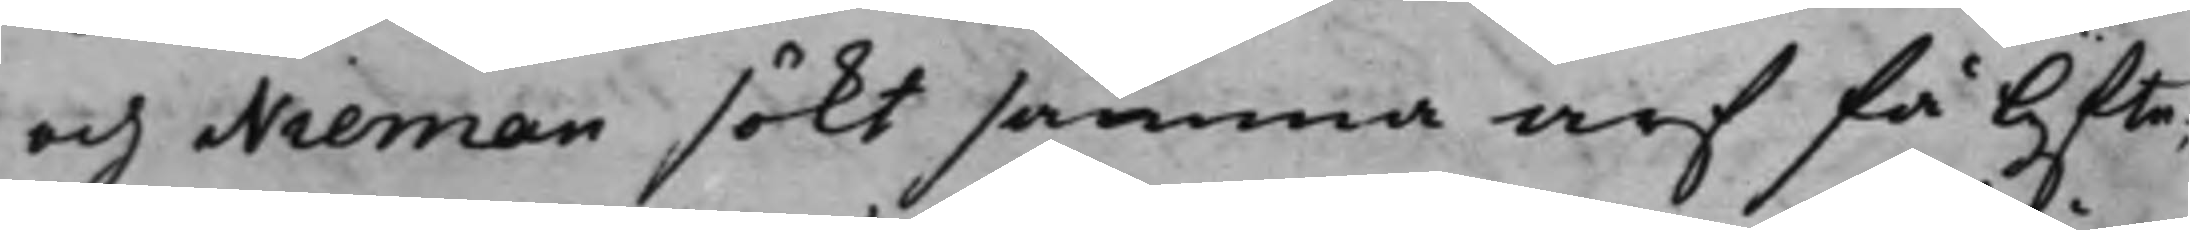och Nieman sökt samma arf få lyfte,
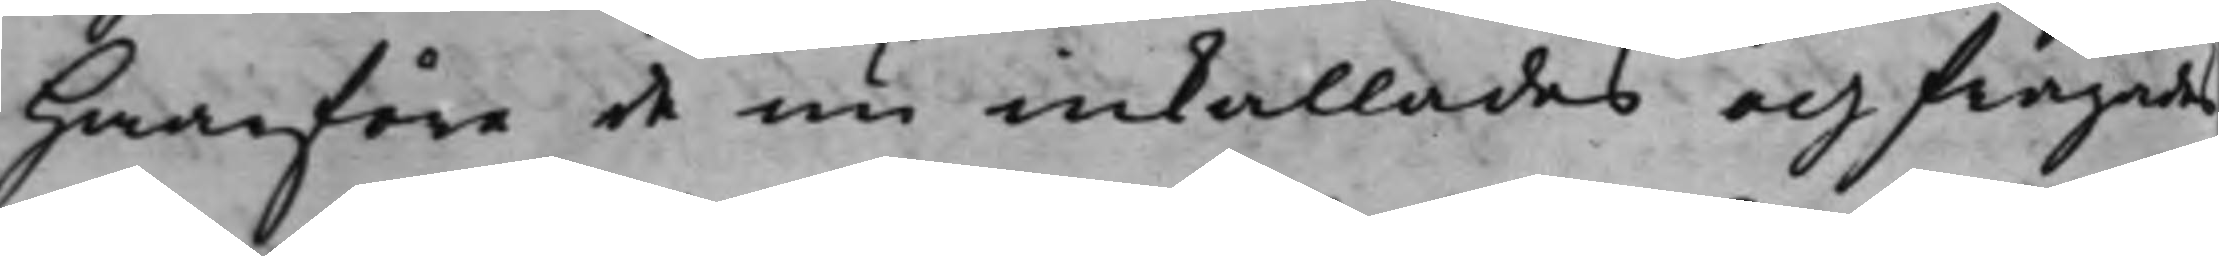Hwarföre de nu inkallades och frågades
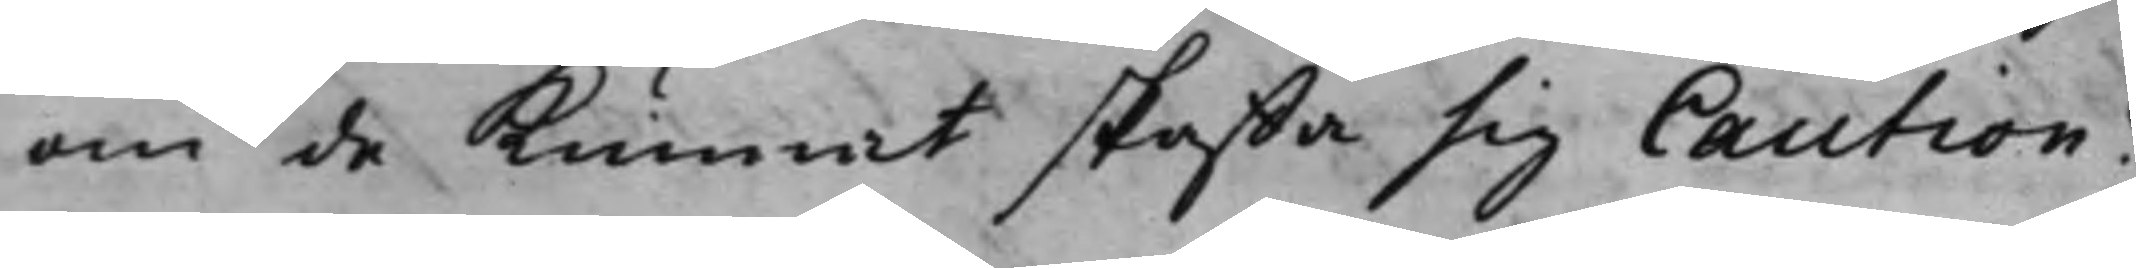om de kunnat skaffa sig Caution?
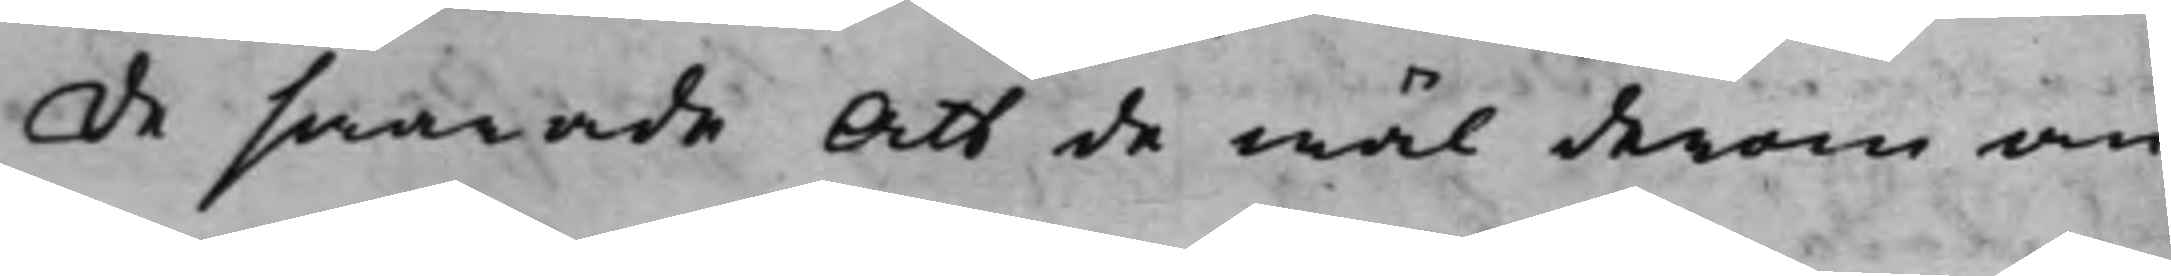De swarade Att de wäl derom an¬
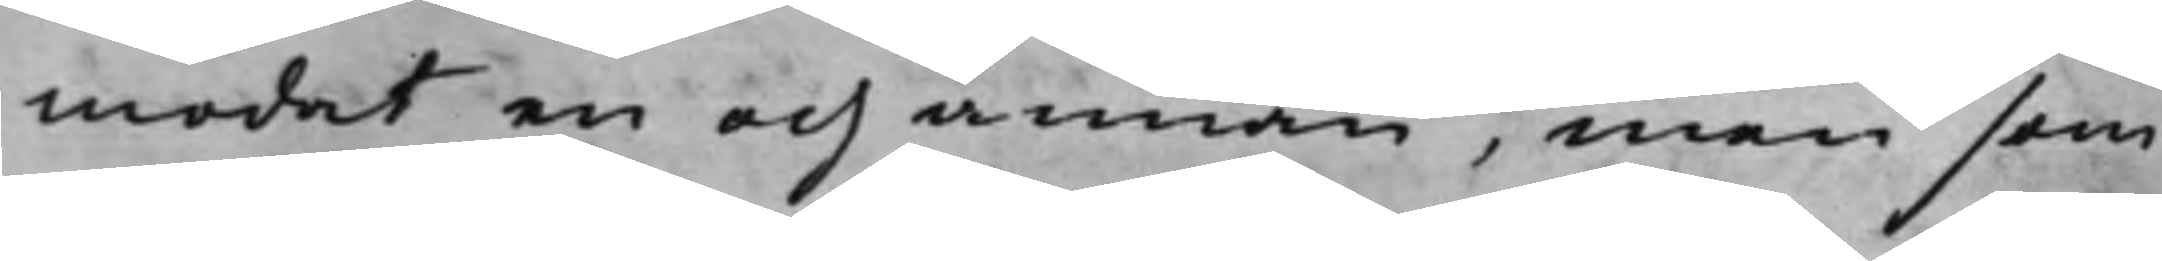modat en och annan, men som
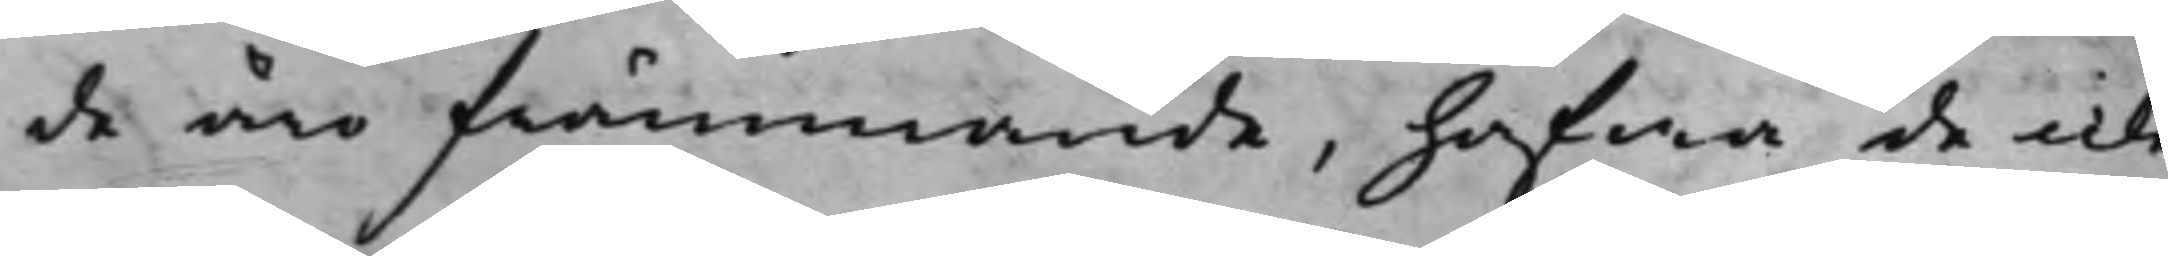de äro främmande, hafwa de icke
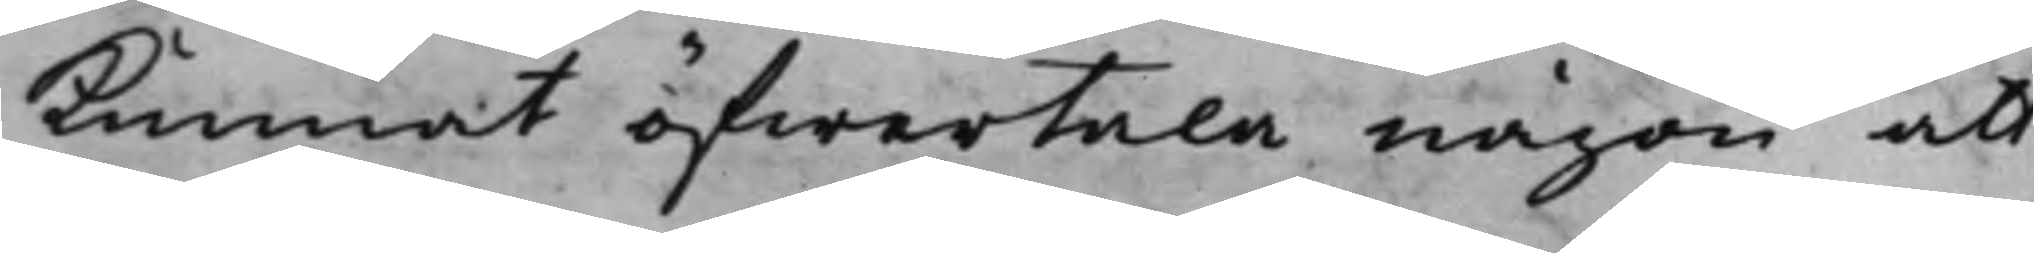kunnat öfwertala någon att
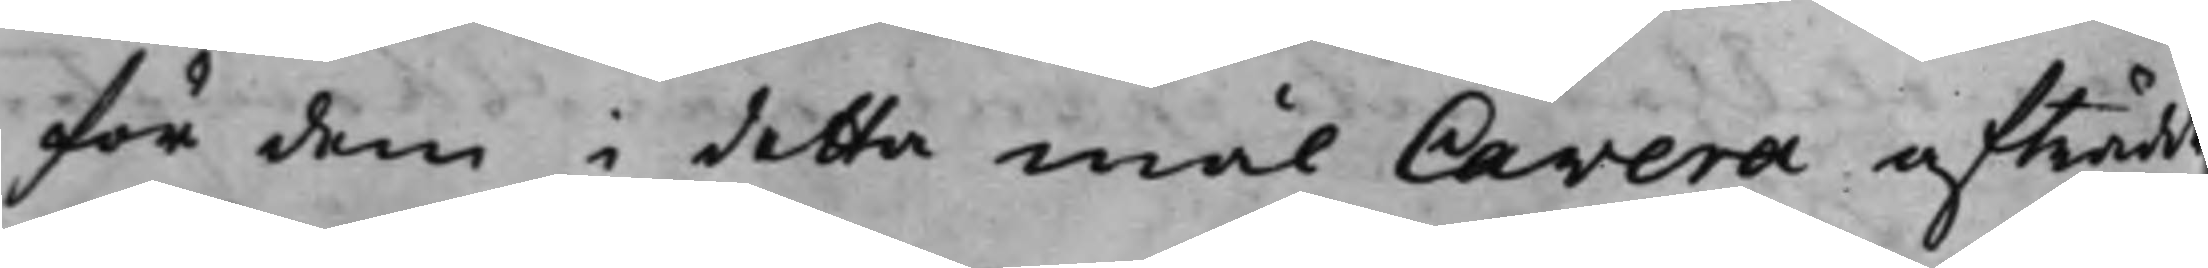för dem i detta mål Cavera afträdde
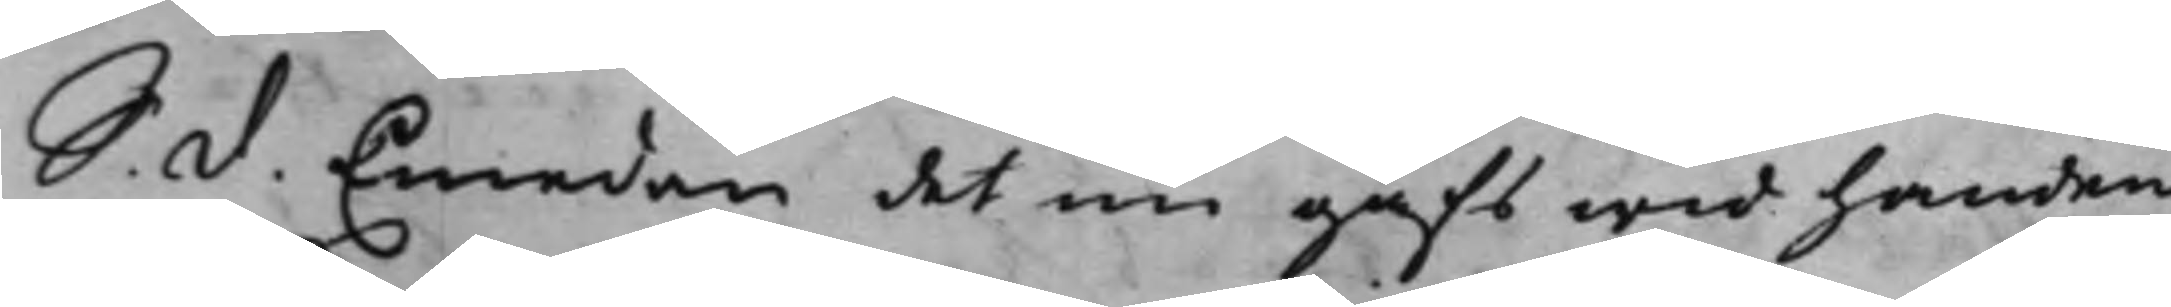S. d. Emedan det nu gafs wid handen
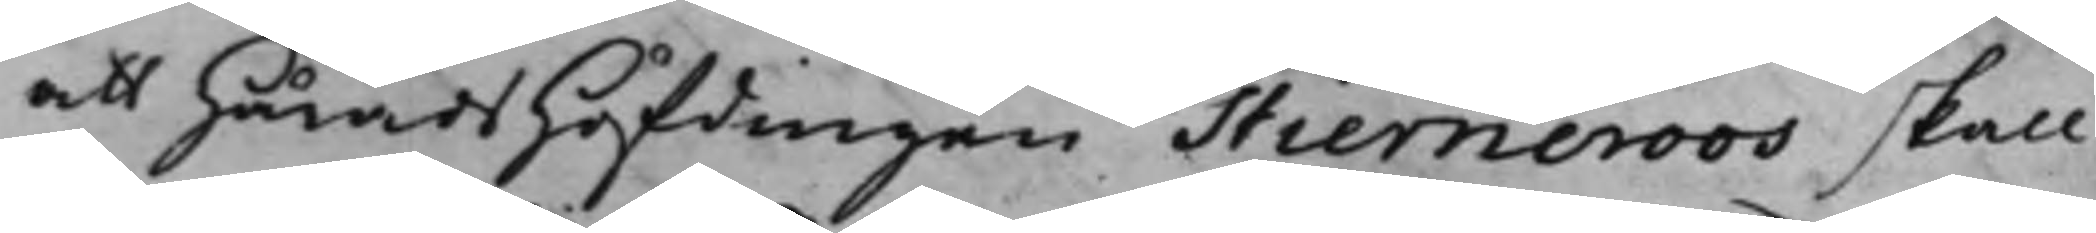att HäradsHöfdingen Stierneroos skall
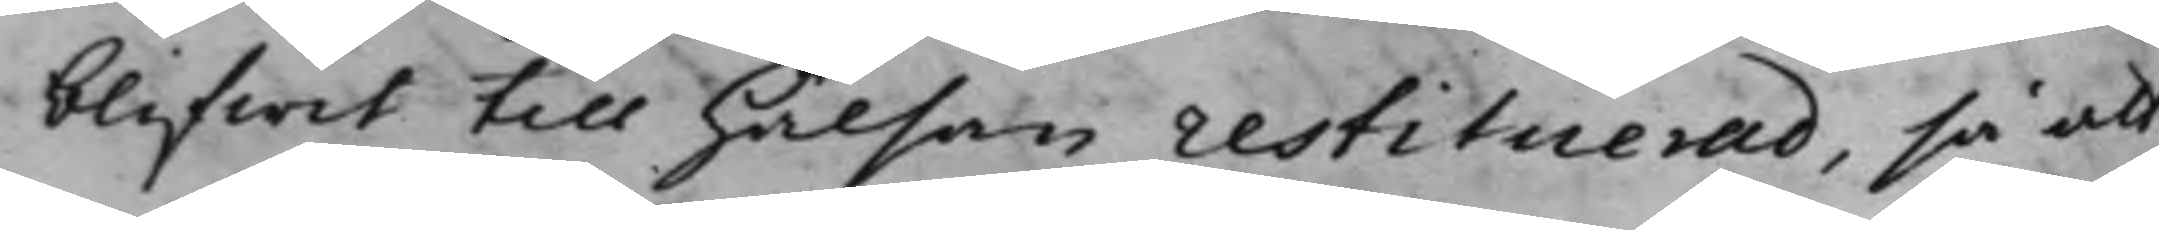blifwit till hälsan restituerad, så att
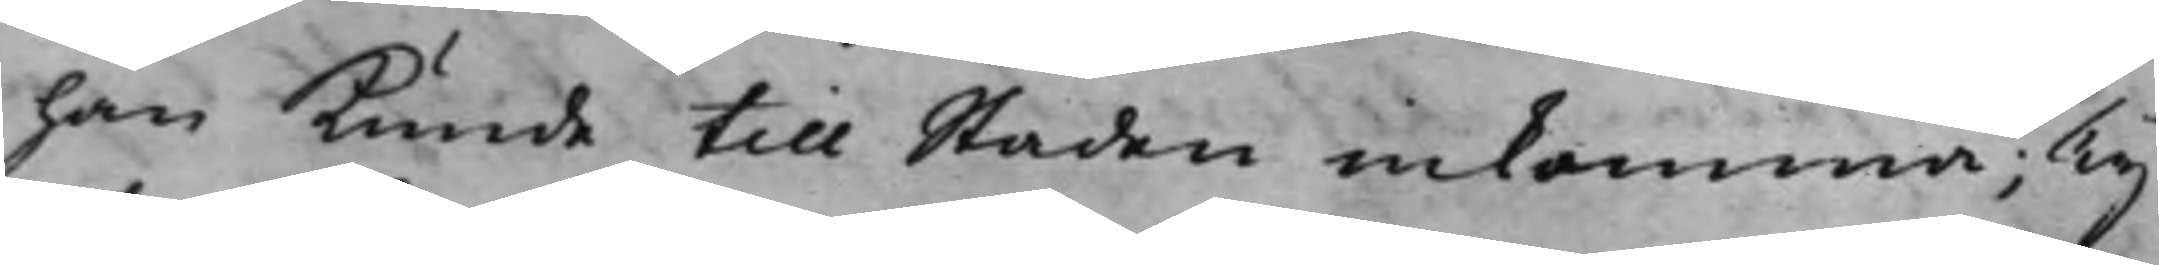han kunde till Staden inkomma; Ty
